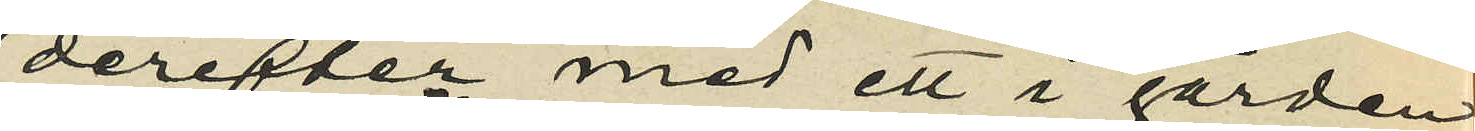derefter med ett i gården
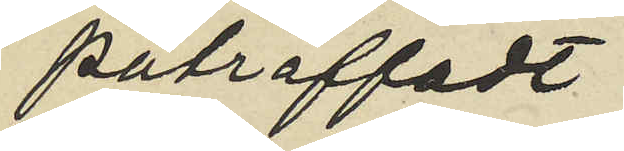påträffadt
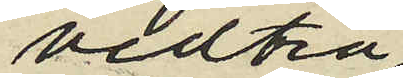vedträ
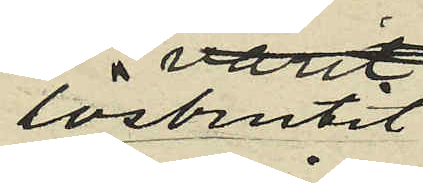lösbrutit
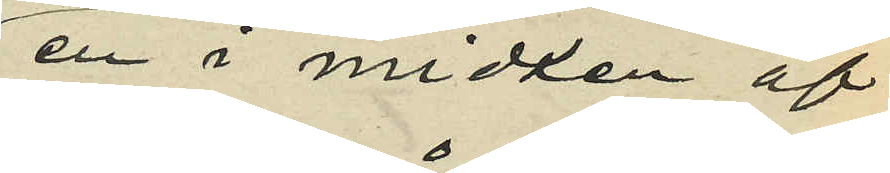en i mitten af
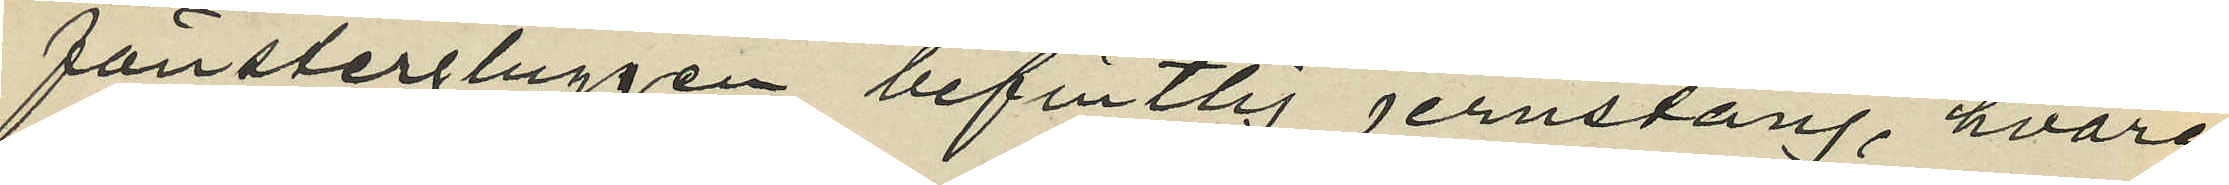fönstergluggen befintlig jernstång, hvare¬
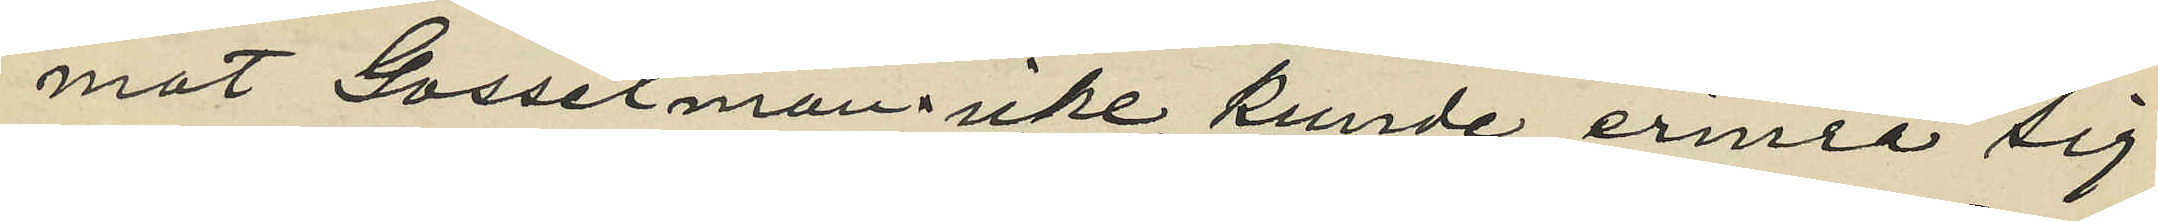mot Gosselman icke kunde erinra sig
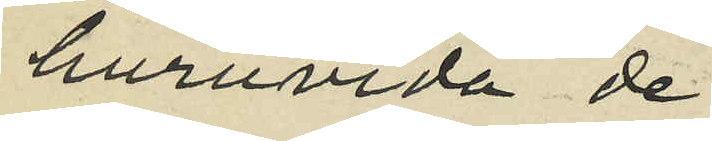huruvida de
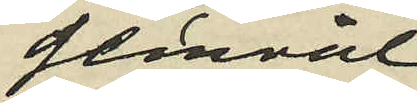genväl
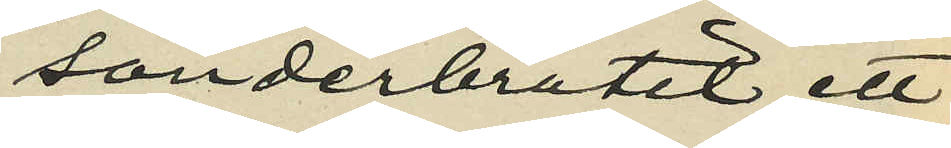sönderbrutit ett
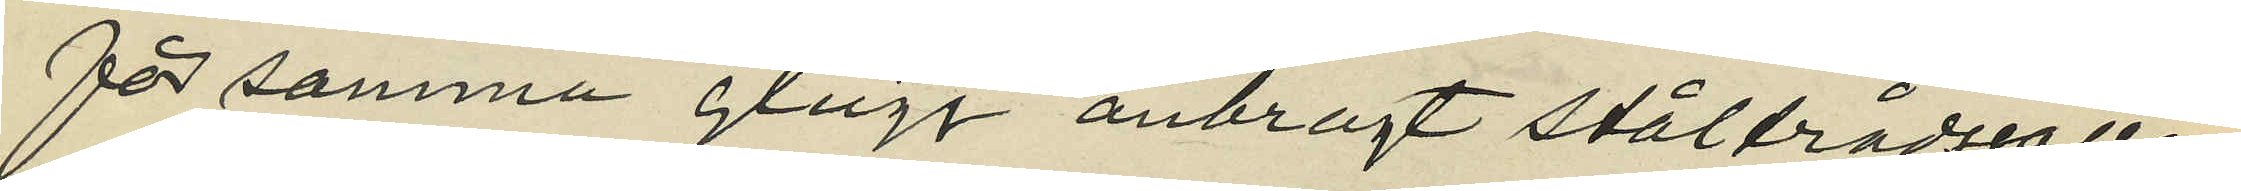för samma glugg anbragt ståltrådsgaller
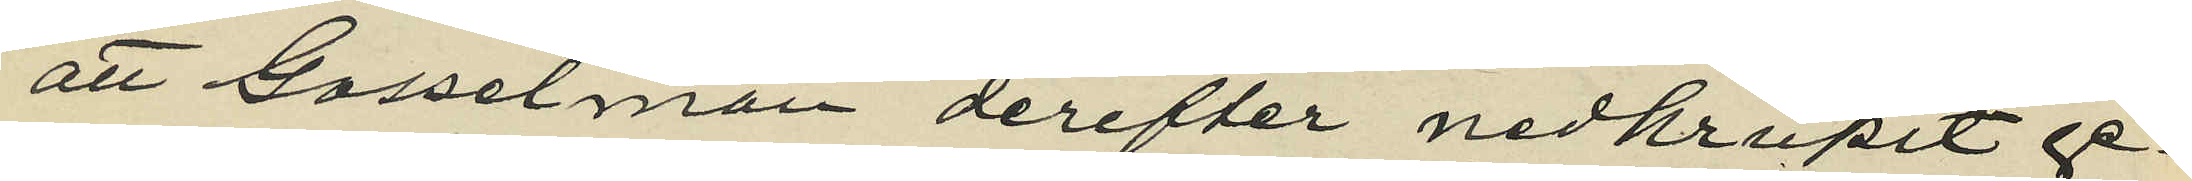att Gosselman derefter nedkrupit ge¬
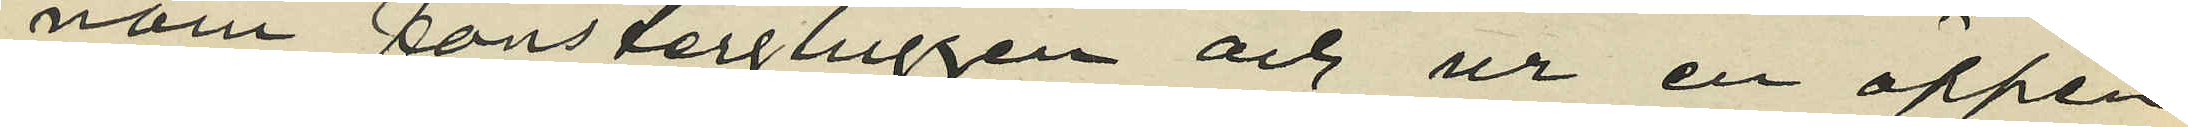nom fönstergluggen och ur en öppen
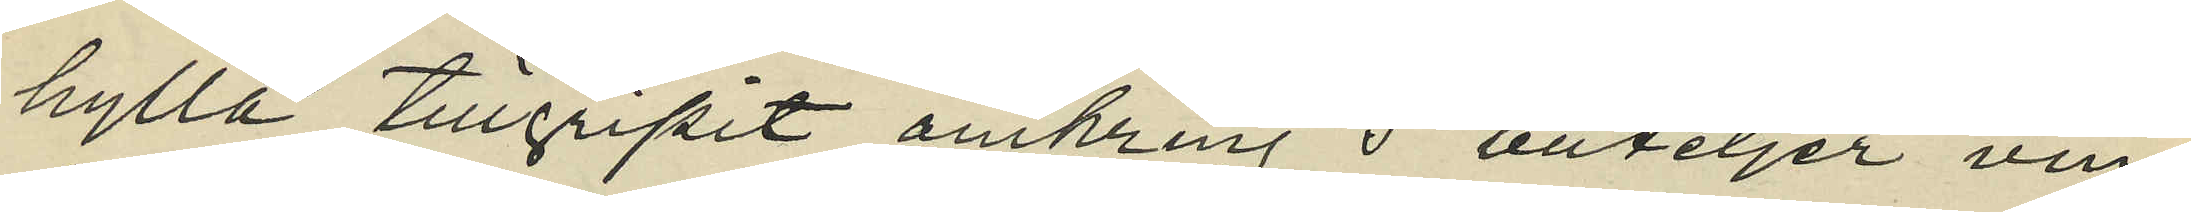hylla tillgripit omkring 5 buteljer vin
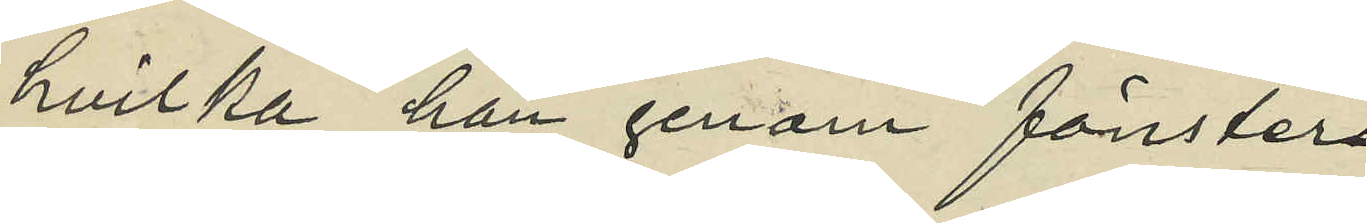hvilka han genom fönster¬
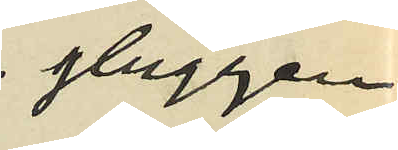gluggen
